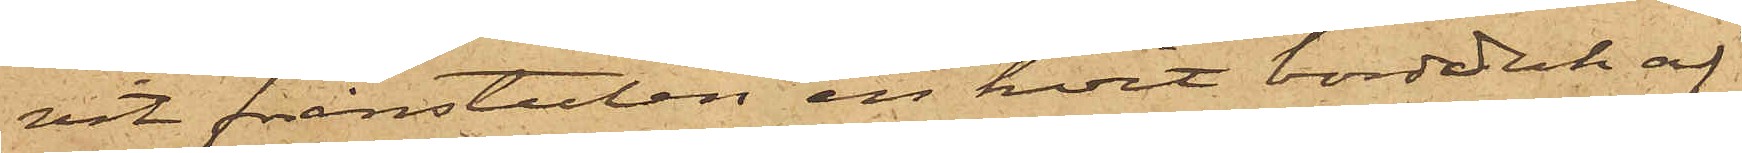vit frånstulen en hvit bordduk af
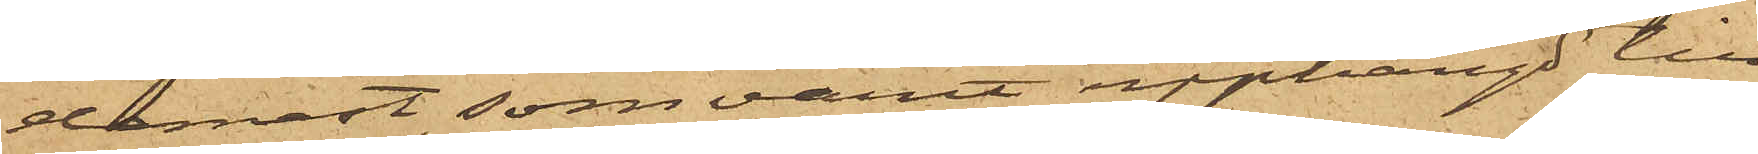damast, som varit upphängd till
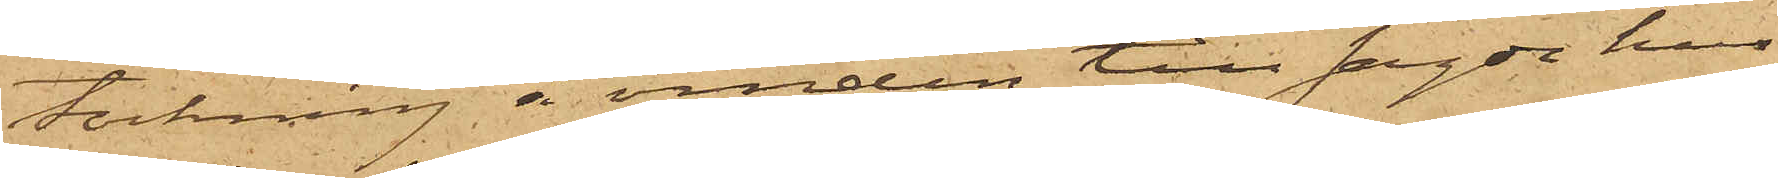torkning å vinden till sagde hus,
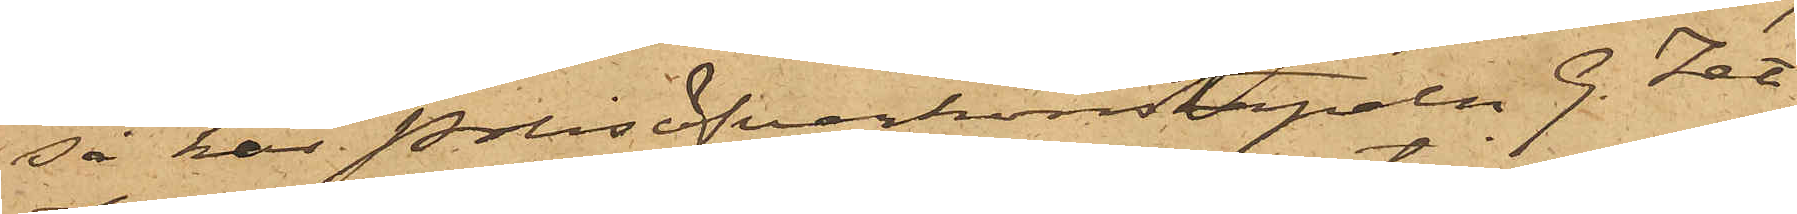så har Polisöfverkonstapeln G. Zet¬
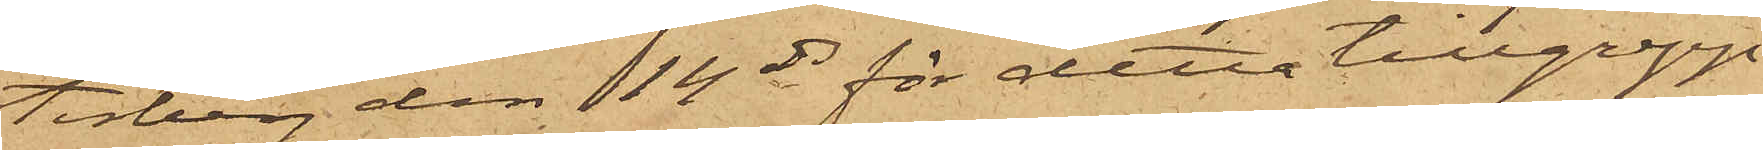terberg den 14 ds för detta tillgrepp
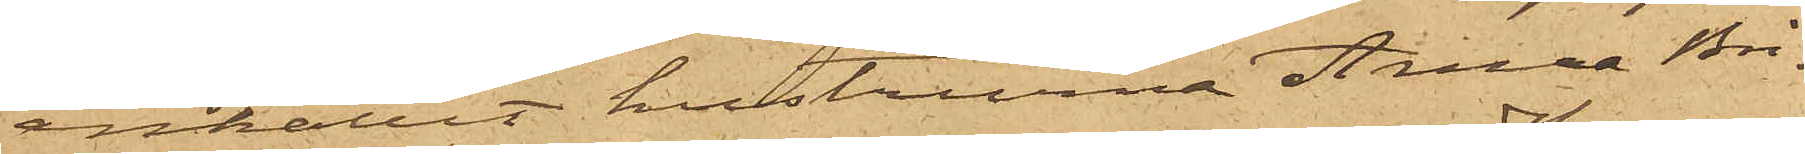anhållit hustruna Anna Bri¬
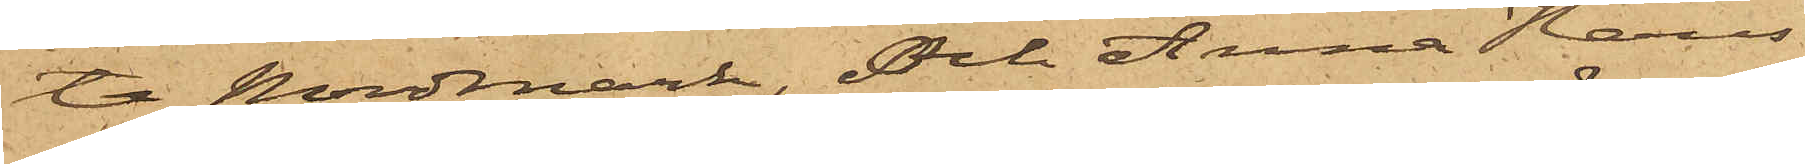ta Nordmark, och Anna Hans¬
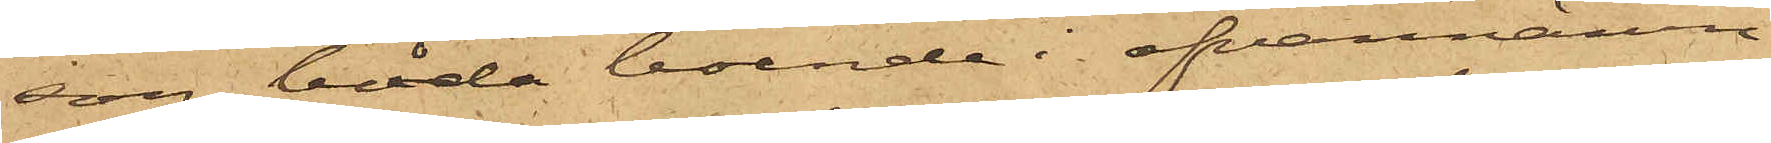son båda boende i ofvannämn¬
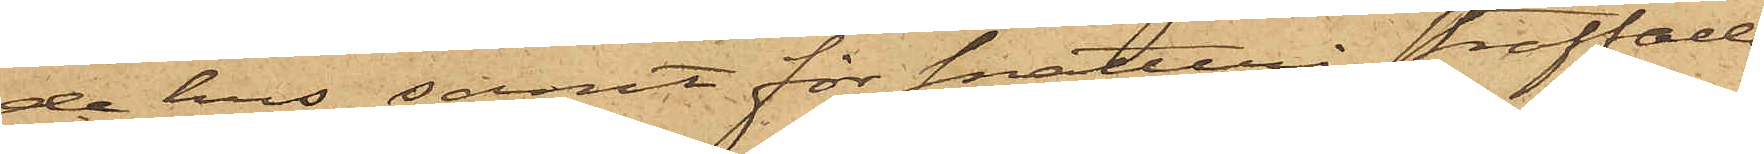de hus, samt för snatteri straffade
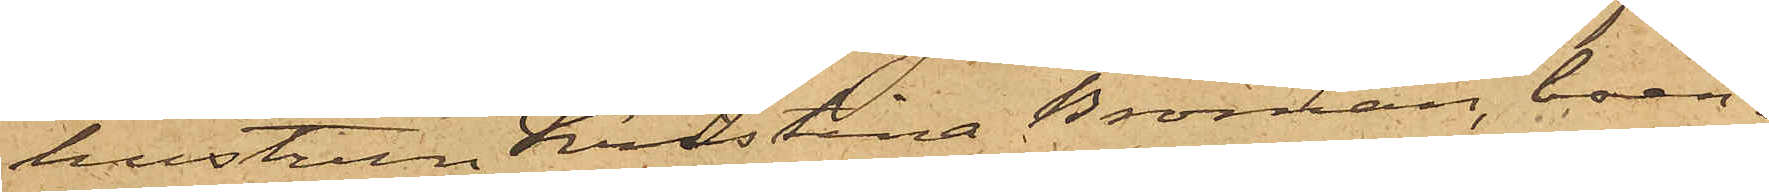hustrun Kristina Broman, boen¬
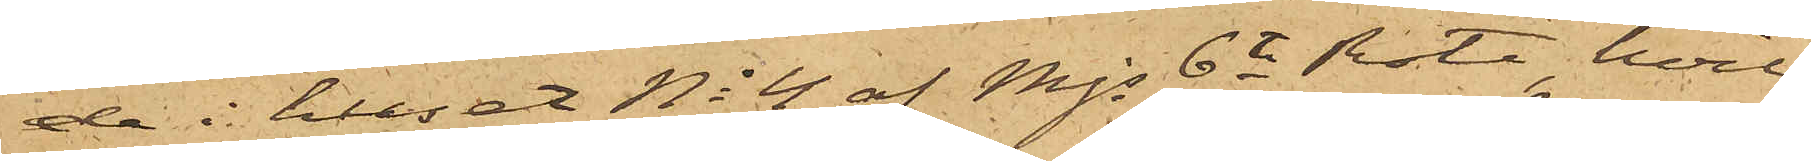de i huset No 4 af Mjs 6te Rote, hvil¬
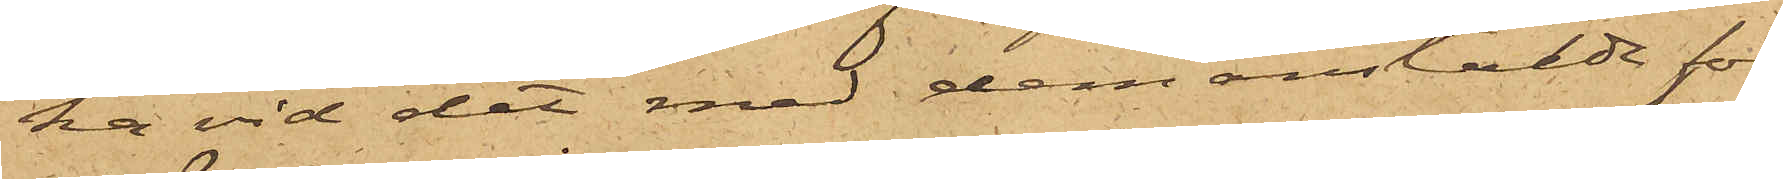ka vid det med dem anstälde för¬
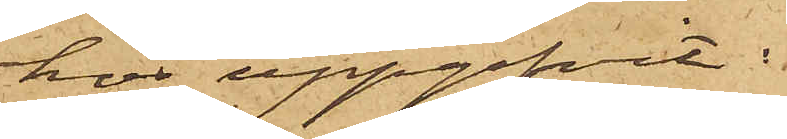hos uppgifvit:
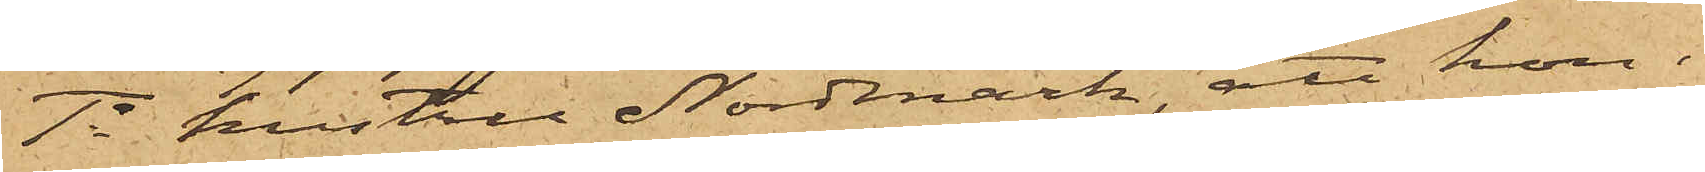1o hustru Nordmark, att hon i
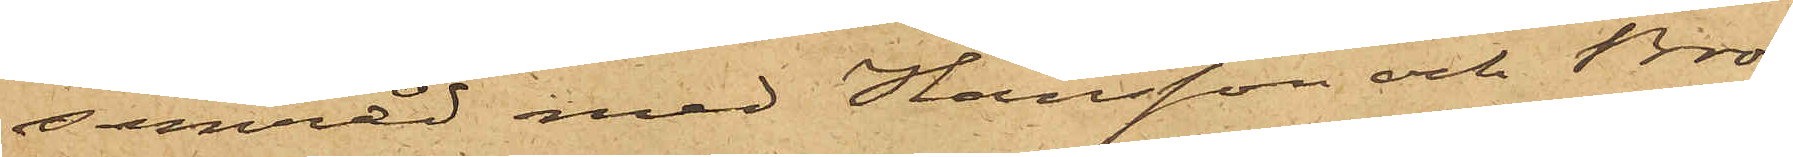samråd med Hansson och Bro¬
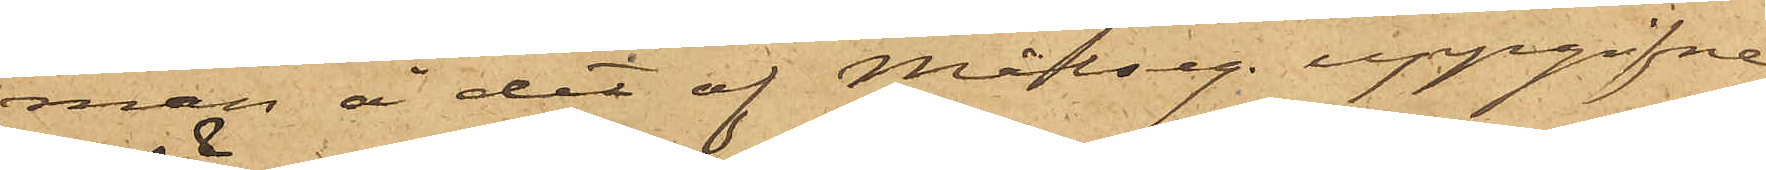man å det af Målseg. uppgifne
